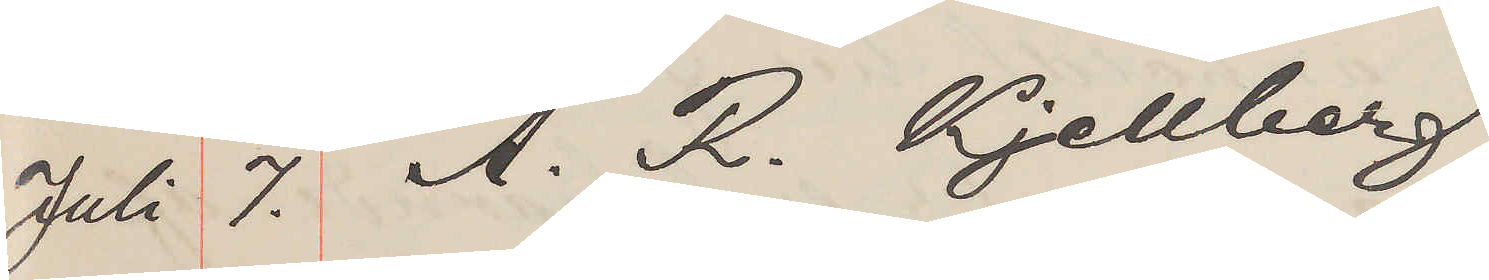Juli 7. A. R. Kjellberg
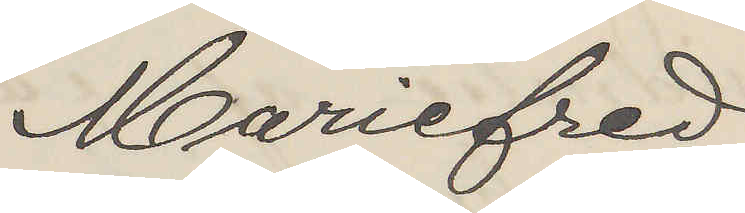Mariefred
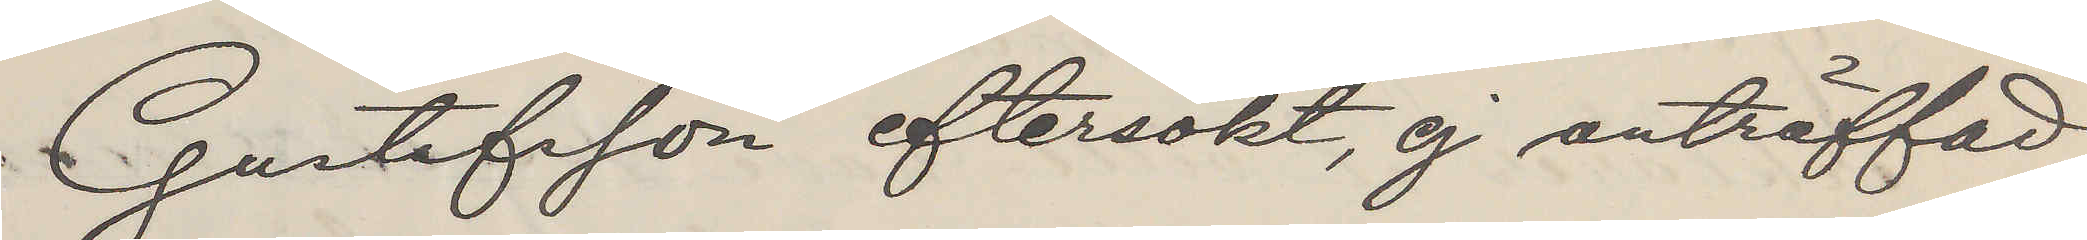Gustafsson eftersökt, ej anträffad
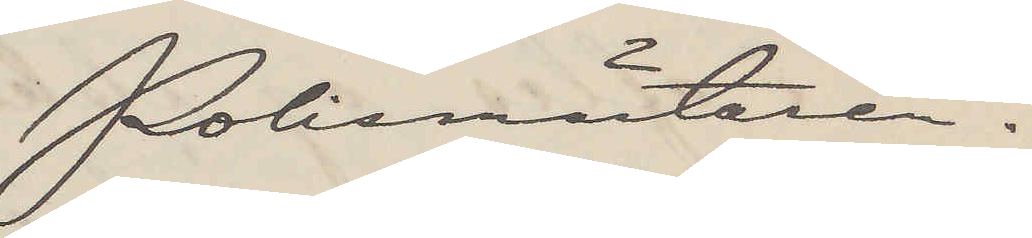Polismästaren.
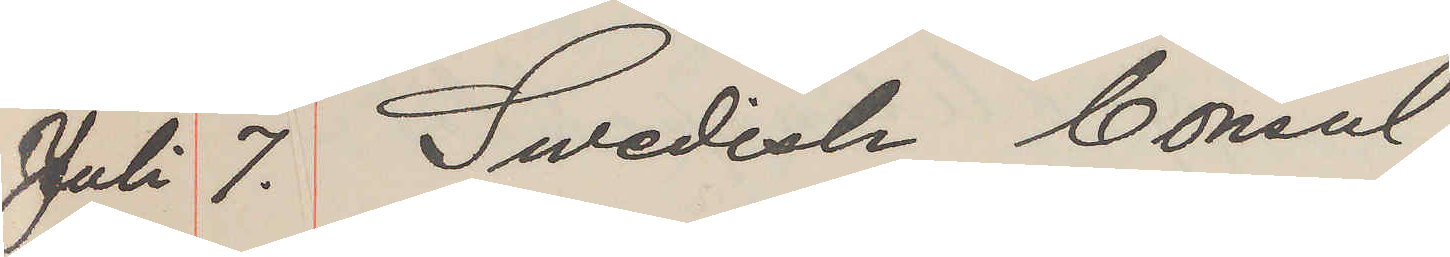Juli 7. Swedish consul
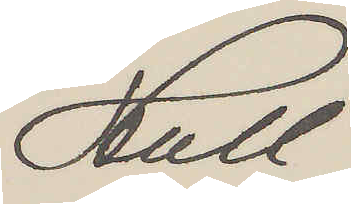Hull
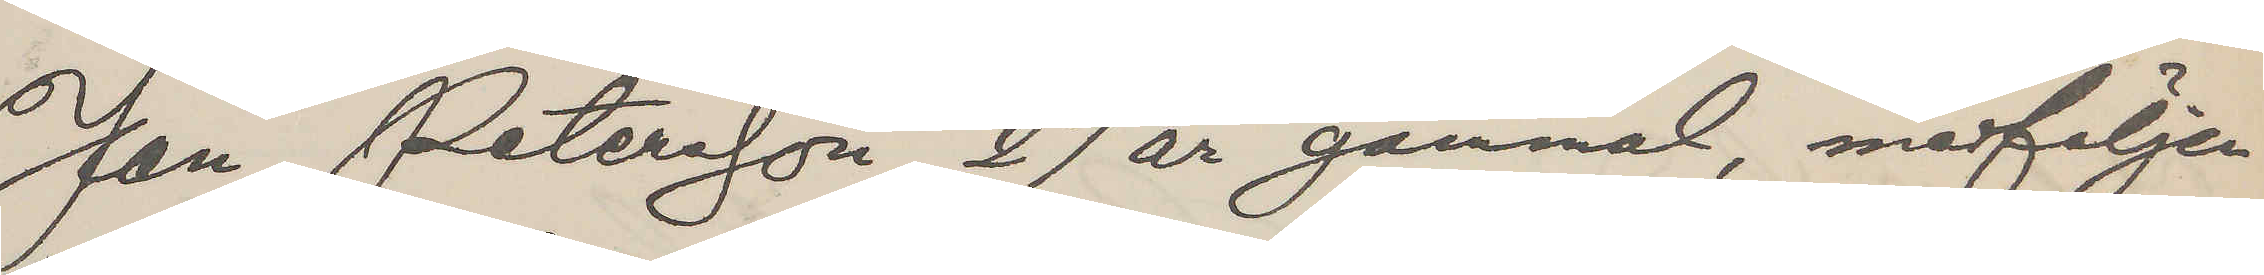Jan Petersson, 27 år gammal, medföljer
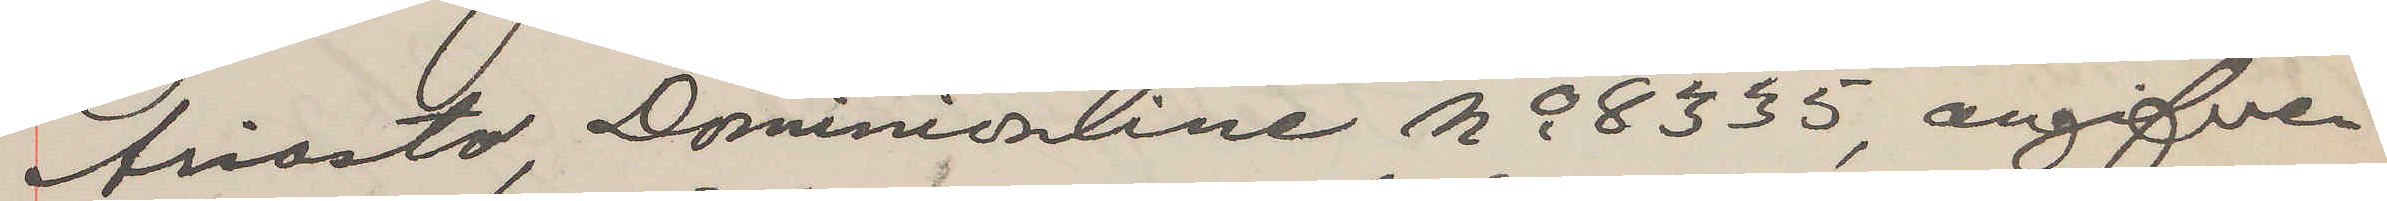Ariosto Dominionline No 8335, angifver
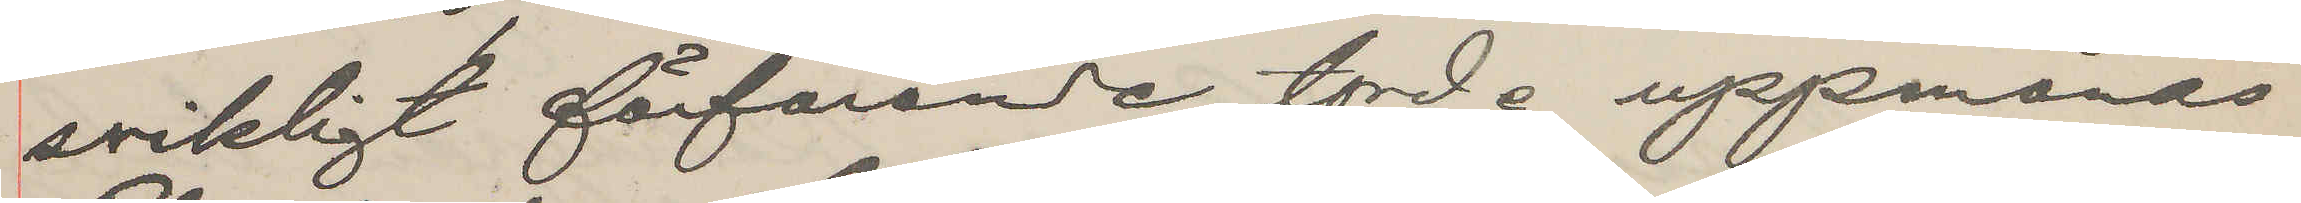svikligt förfarande, torde uppmanas
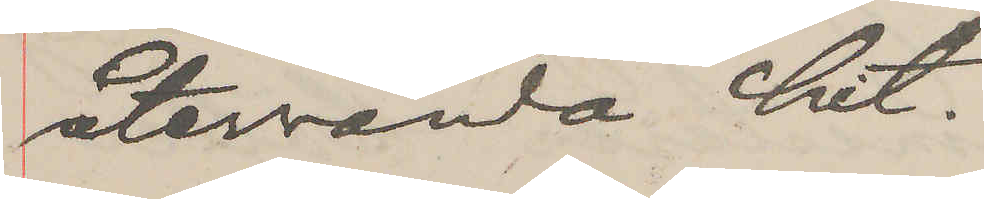återvända hit.
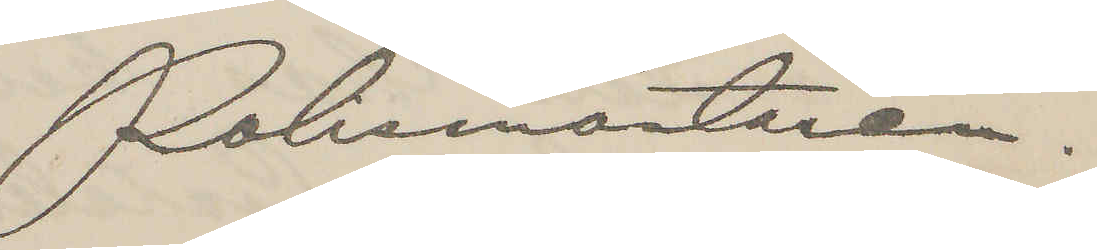Pohemätaren.
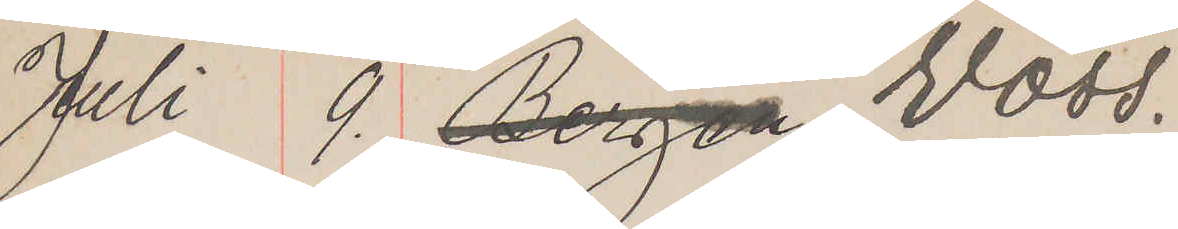Juli 9. Bergen Voss,
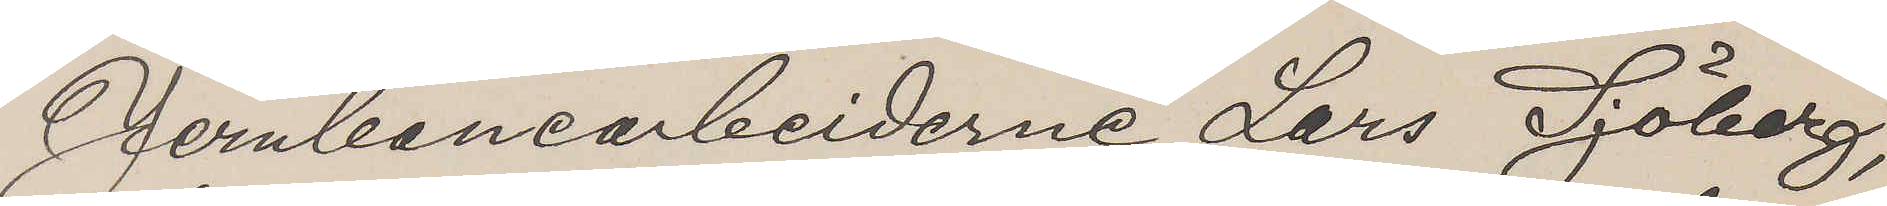Jernbanearbeiderne Lars Sjöberg,
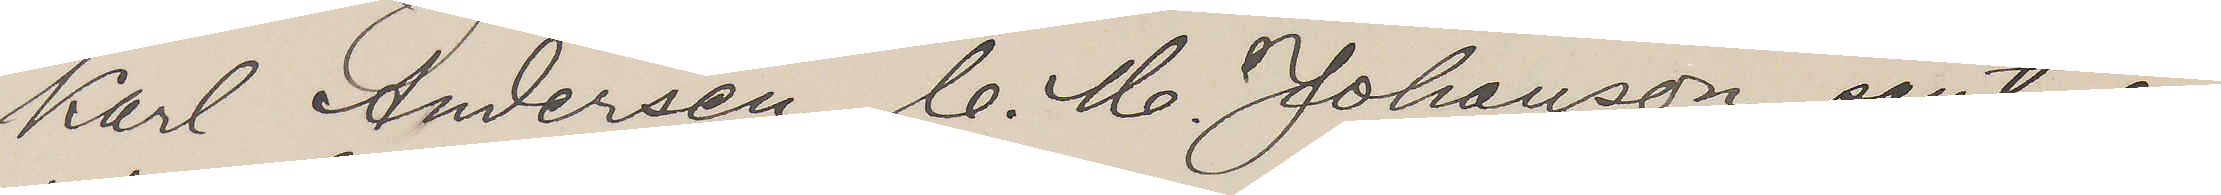Karl Andersen, C. M. Johanson samt en
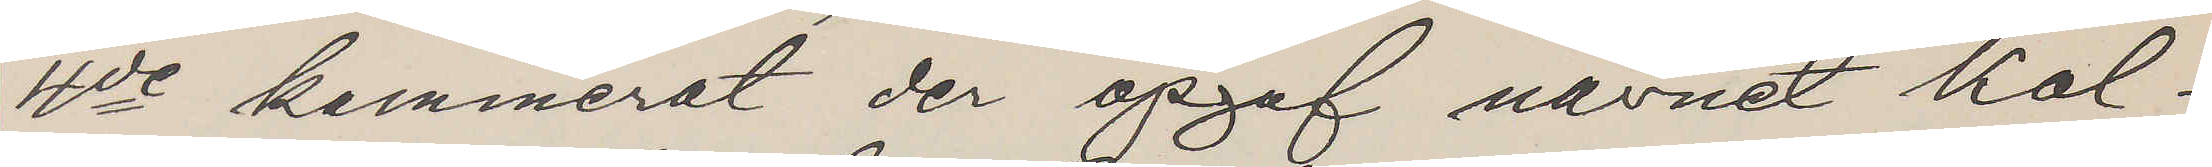4de kammerat der opaf navnet Kol¬
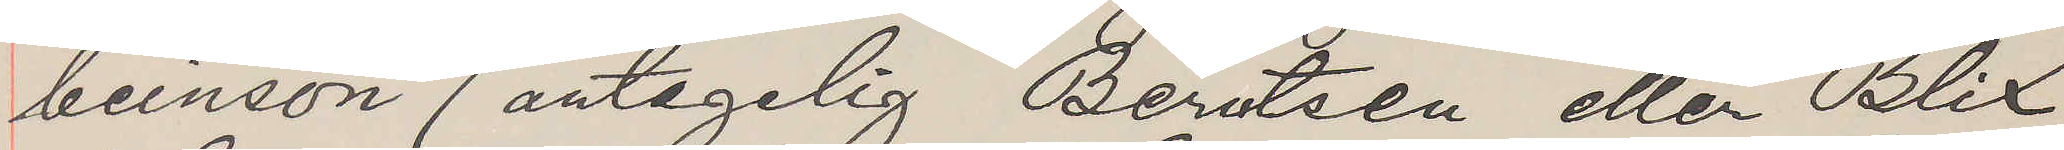beinson (antagelig Berntsen eller Blix)
